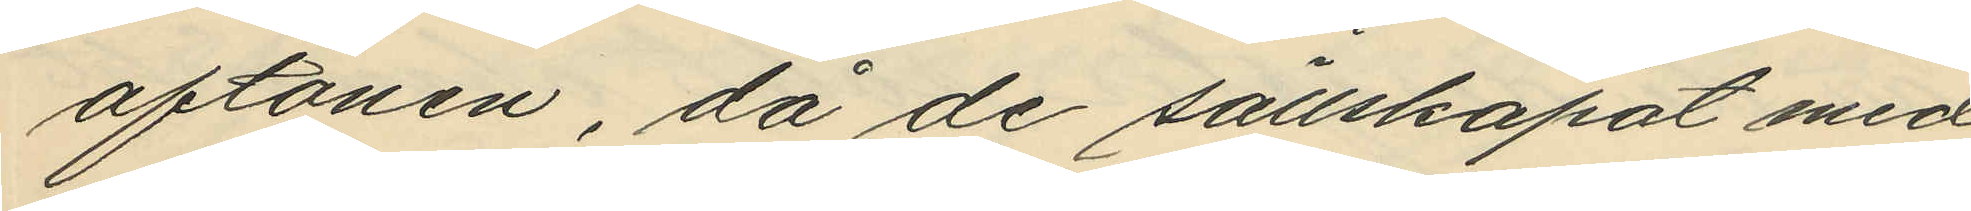aftonen, då de sällskapat med
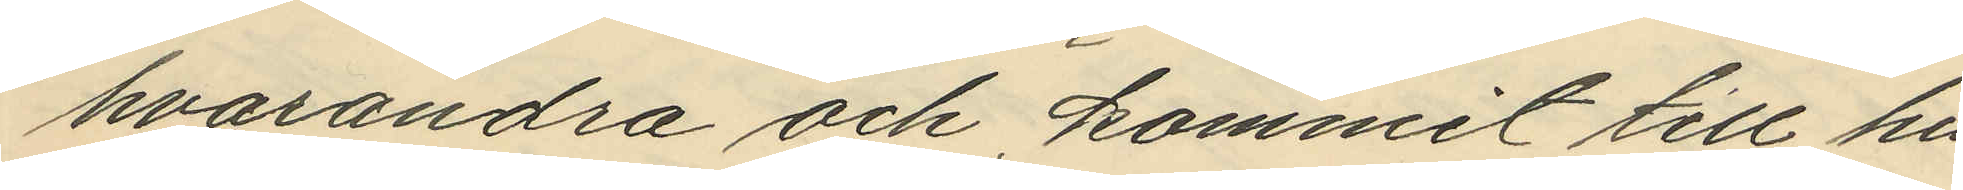hvarandra och kommit till hu¬
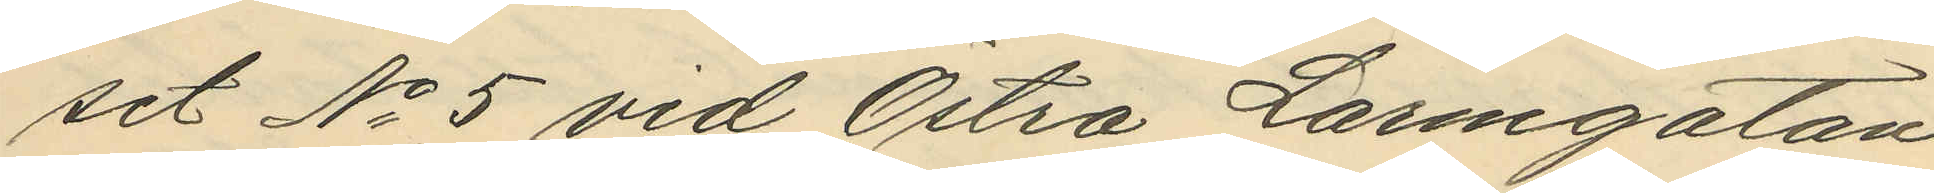set No 5 vid Östra Larmgatan
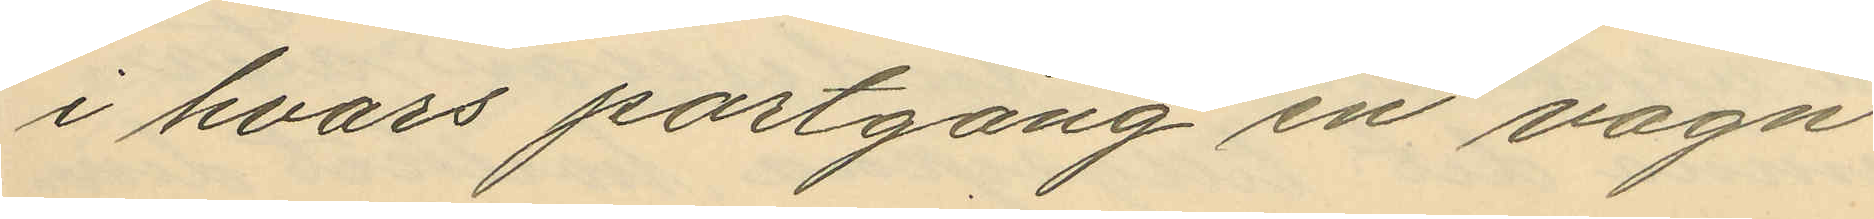i hvars portgång en vagn
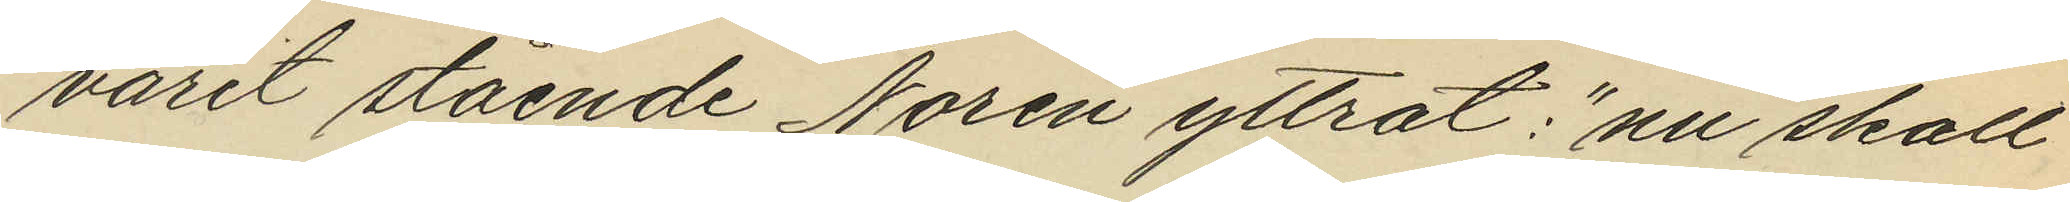varit stående Norén yttrat: "nu skall
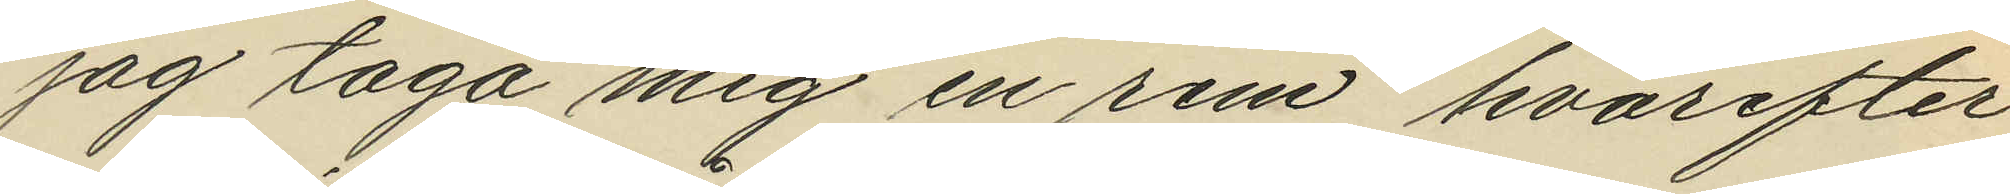jag taga mig en rem" hvarefter
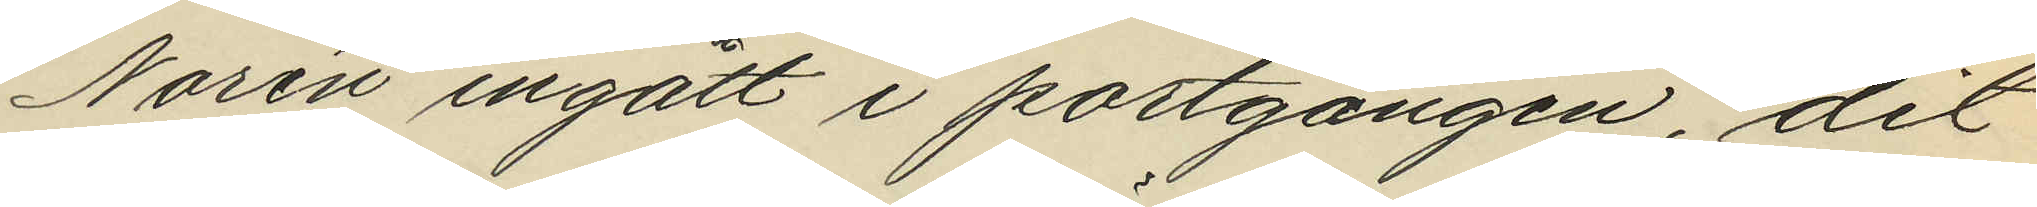Norén ingått i portgången, dit
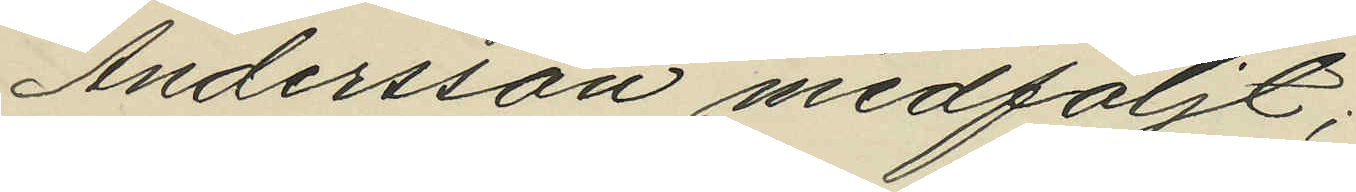Andersson medföljt;
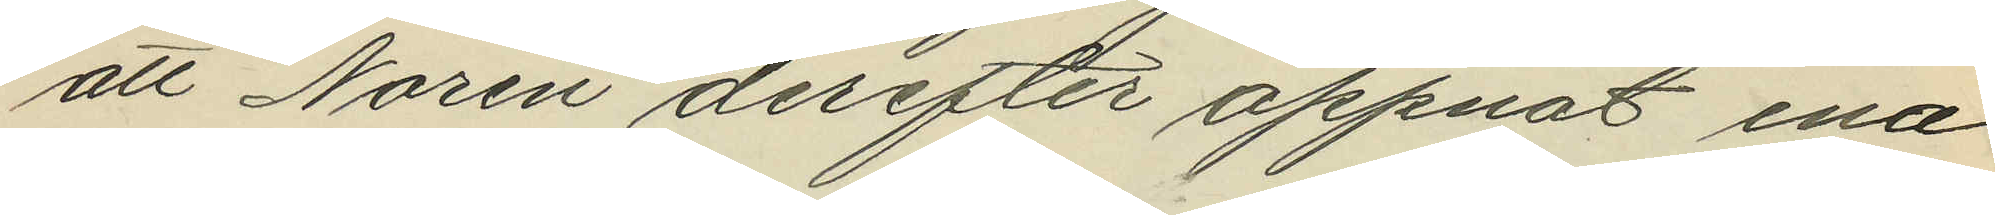att Norén derefter öppnat ena
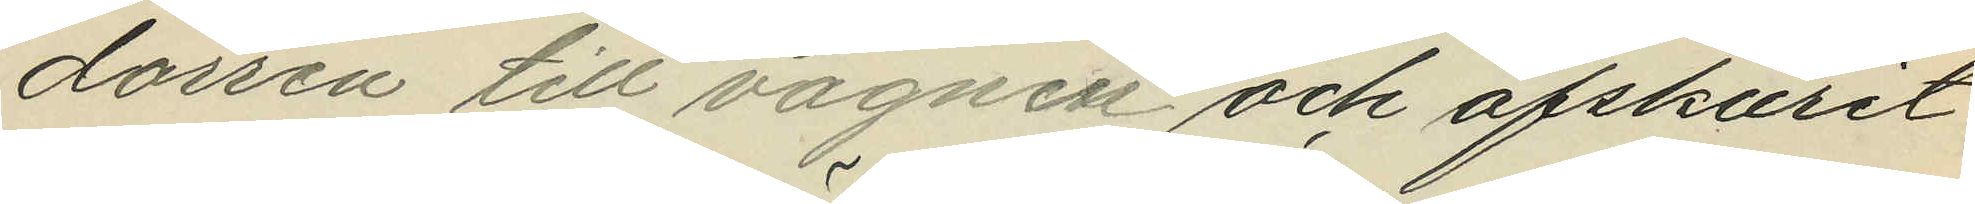dörren till vagnen och afskurit
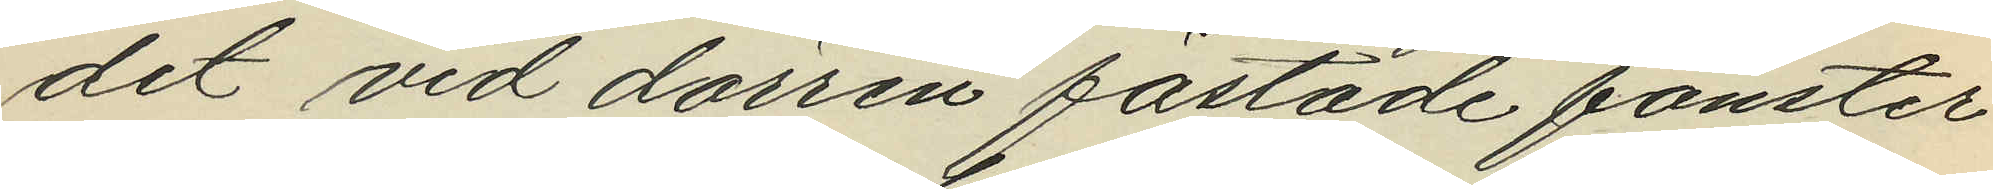det vid dörren fästade fönster
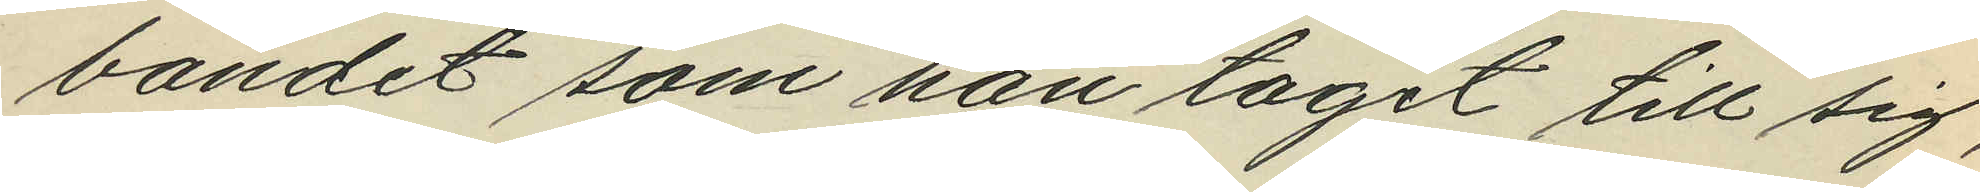bandet som han tagit till sig,
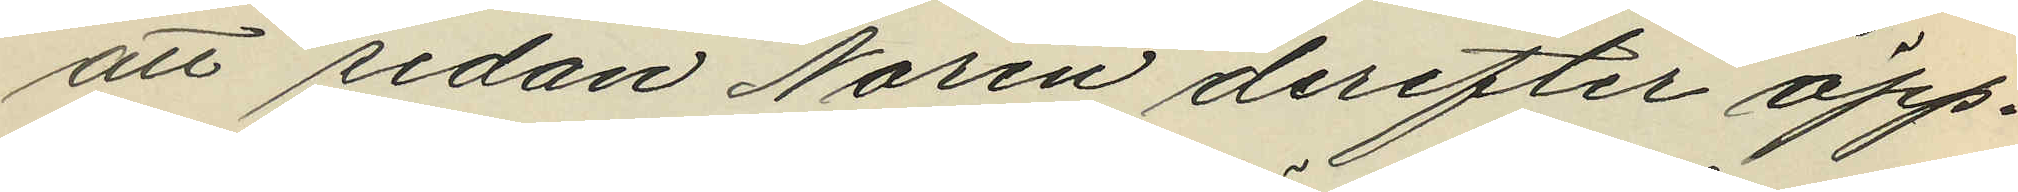att sedan Norén derefter öpp¬
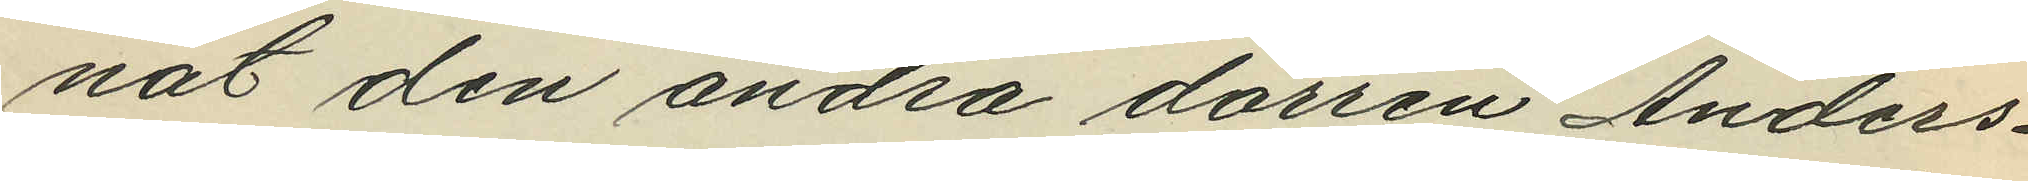nat den andra dörren Anders¬
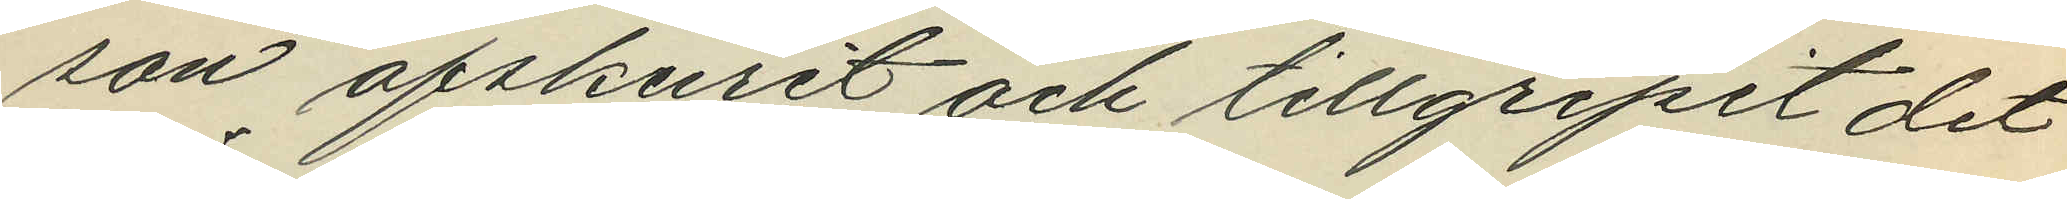son afskurit och tillgripit det
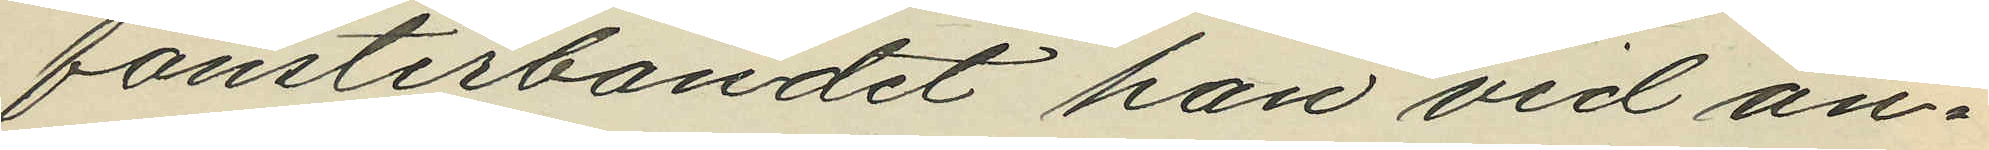fönsterbandet han vid an¬
